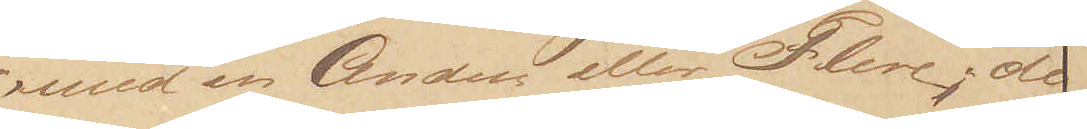med en Anden eller Flere; de
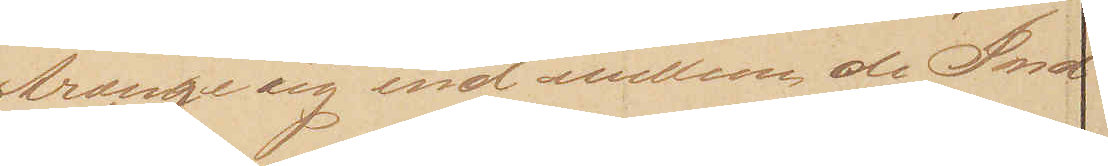trænge sig ind mellem de Ind¬
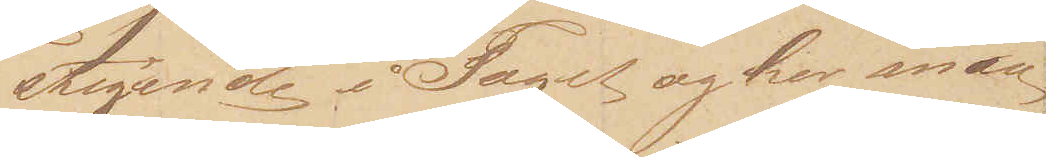stigende i Toget og her maa
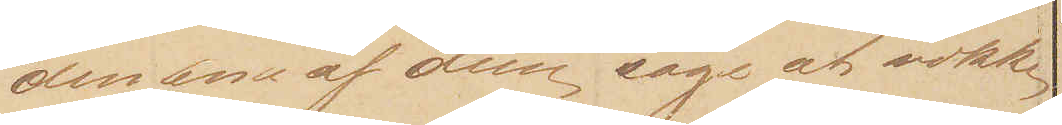den ene af dem søge at vække 
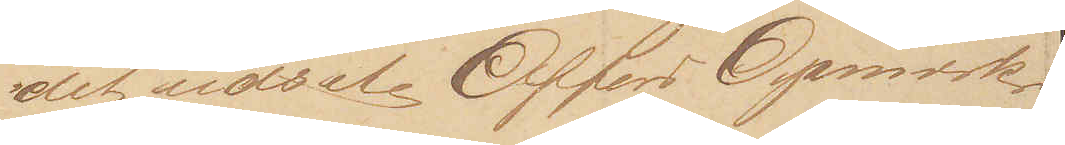det udsete Offers Opmærk¬
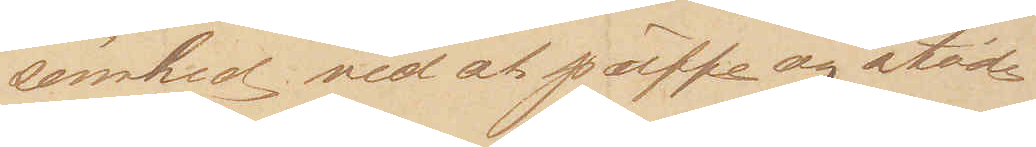somhed ved at puffe og støde 
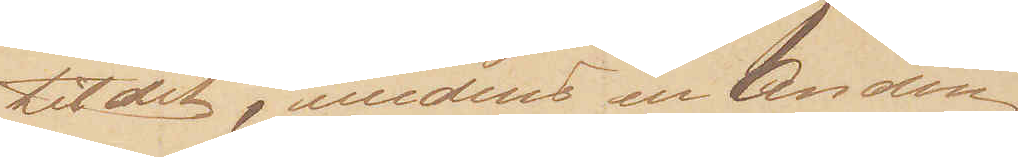til det, medens en Anden 
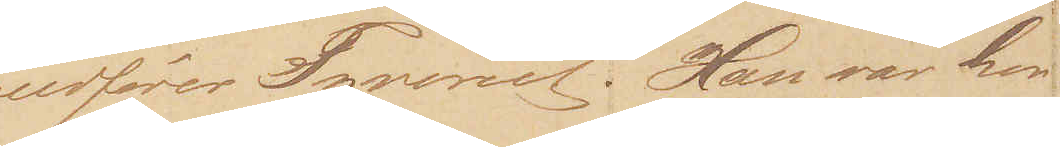udfører Tyveriet. Han var her
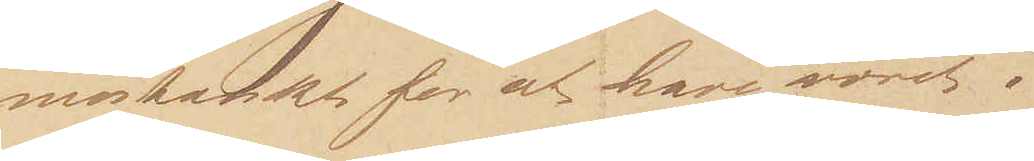mistænkt for at have været i
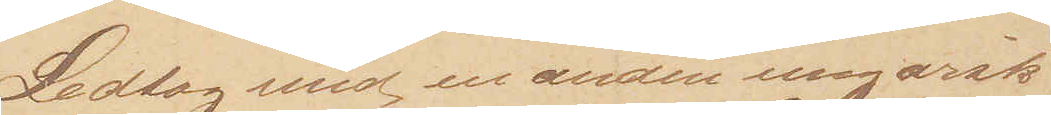Ledtog med en anden ungarsk
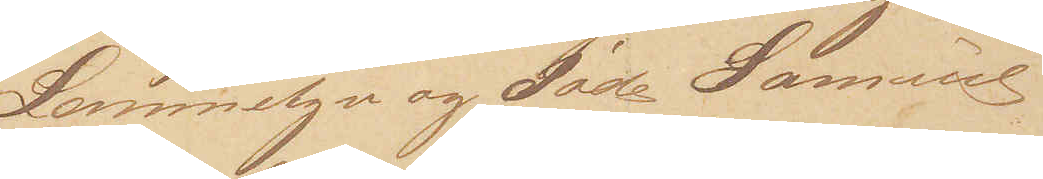Lommetyv og Jøde Samuel
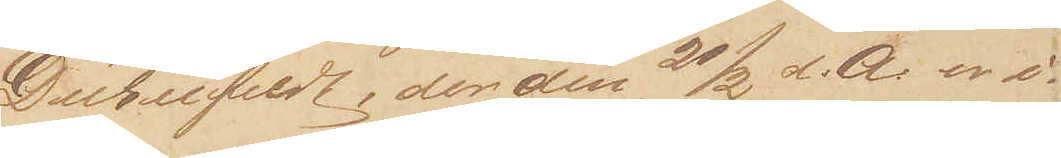Dürnfeldt, der den 21/2 d: A: er i¬
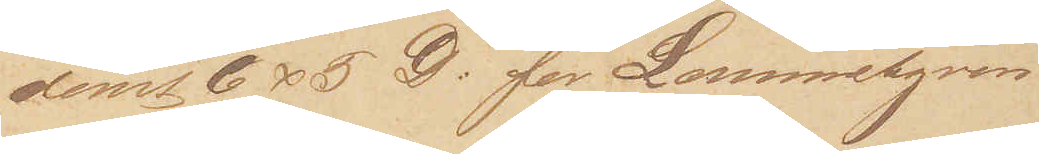dømt 6 x 5 D: for Lommetyveri
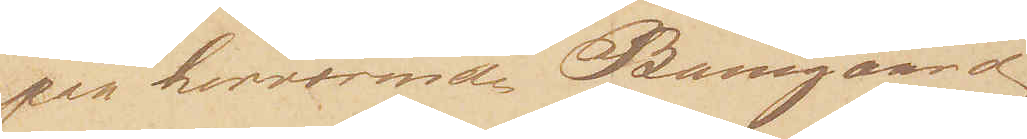paa herværend Banegaard
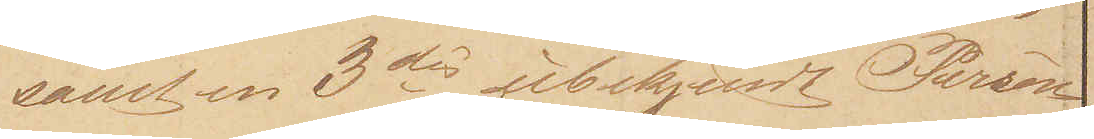samt en 3die ubekjendt Person,
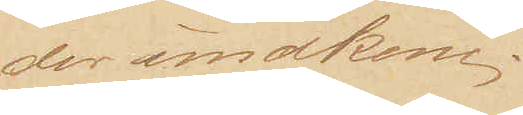der undkom.
